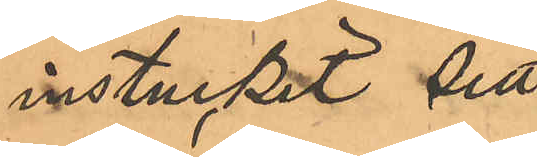instuckit sitt
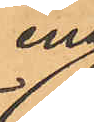ena
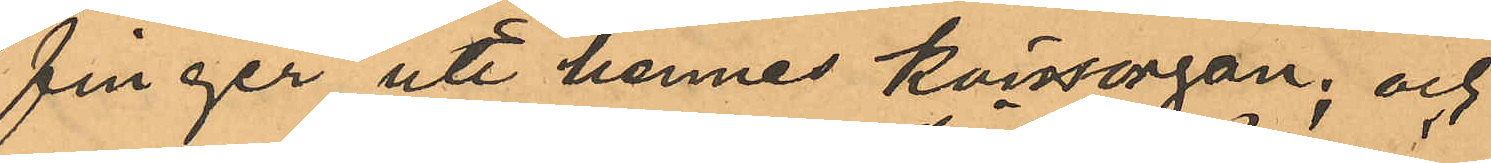finger uti hennes könsorgan; och
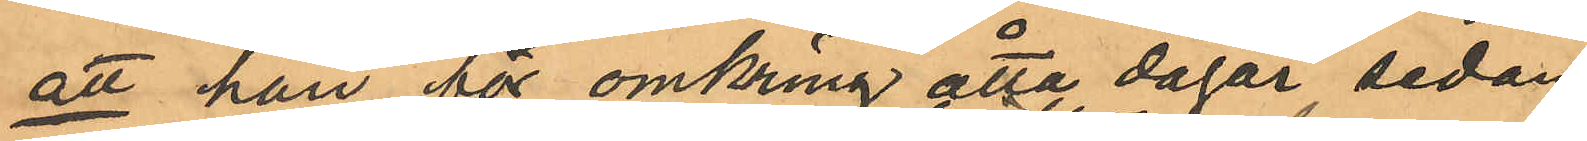att han för omkring åtta dagar sedan
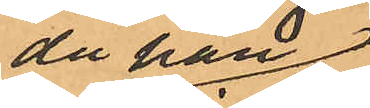då han
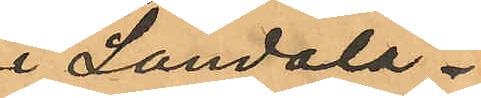i Landala¬
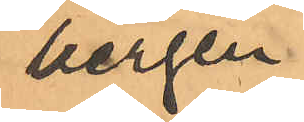bergen
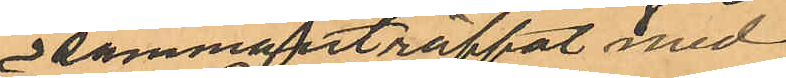sammanträffat med
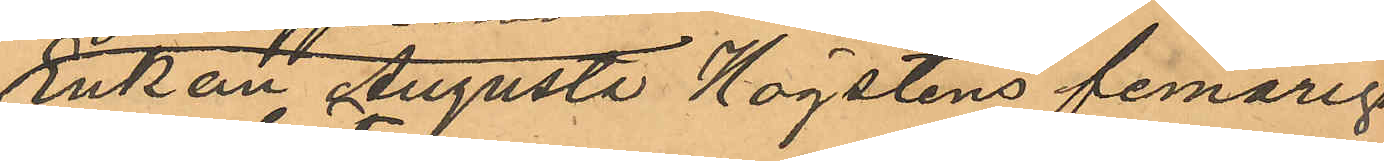Enkan Augusta Högstens femåriga
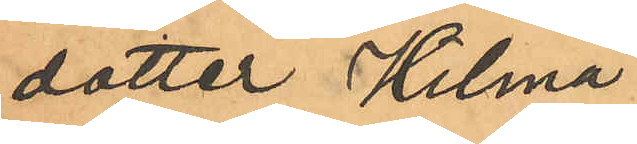dotter Hilma
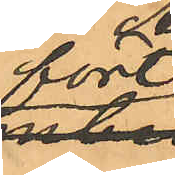fört
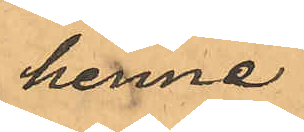henne
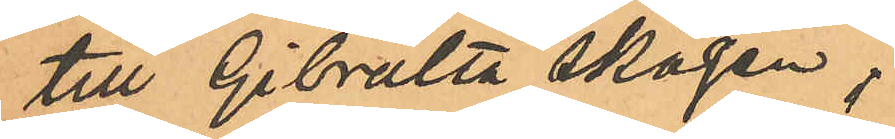till Gibraltar skogen,
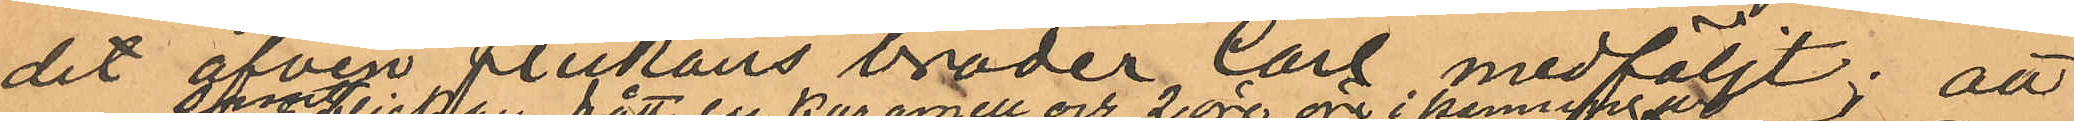dit äfven flickans broder Carl medföljt; att
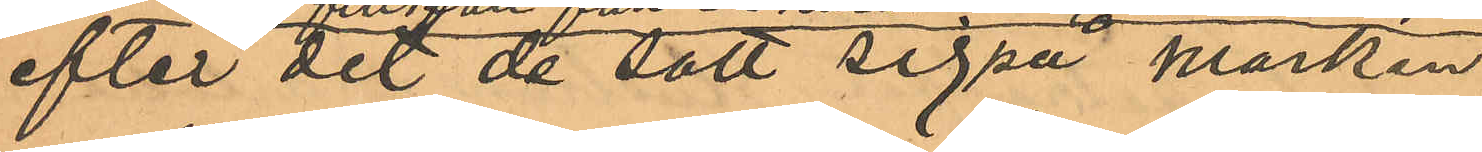efter det de satt sig på marken,
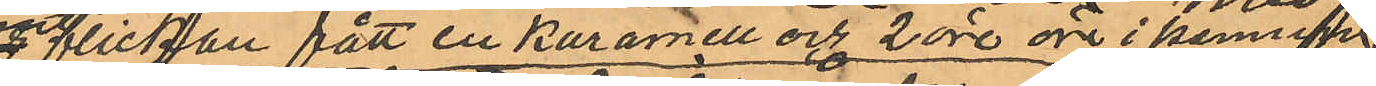och flickan fått en karamell och 2 öre öre i penningar,
